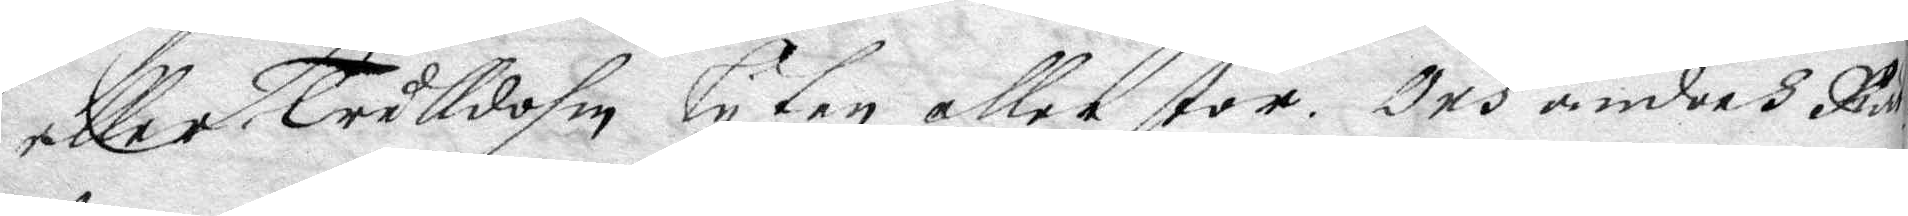eller Trulldom lyten eller stro, Och änders Rät¬
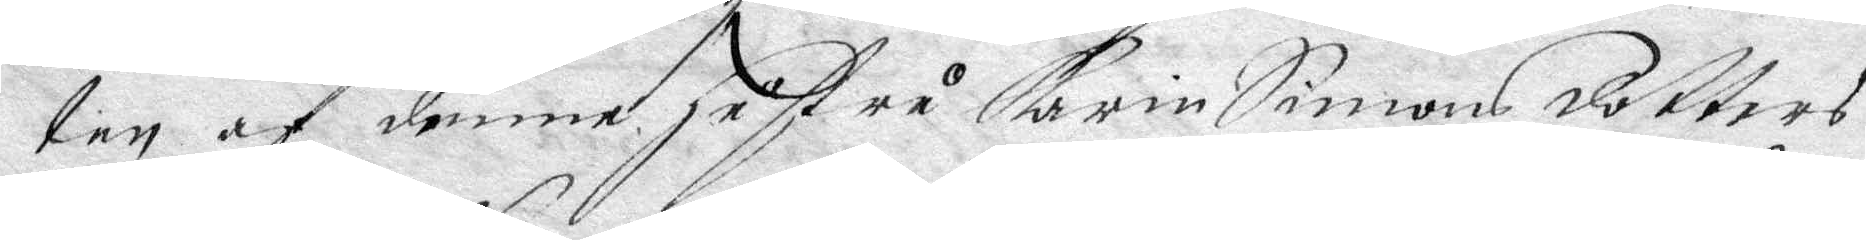ten af denne hustru Karin Simons doters
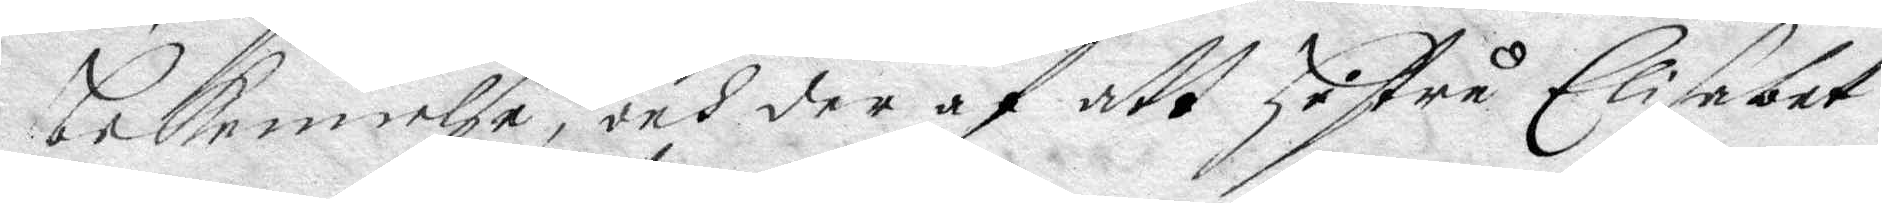bekennelse, och deraf att hustru Elisabet
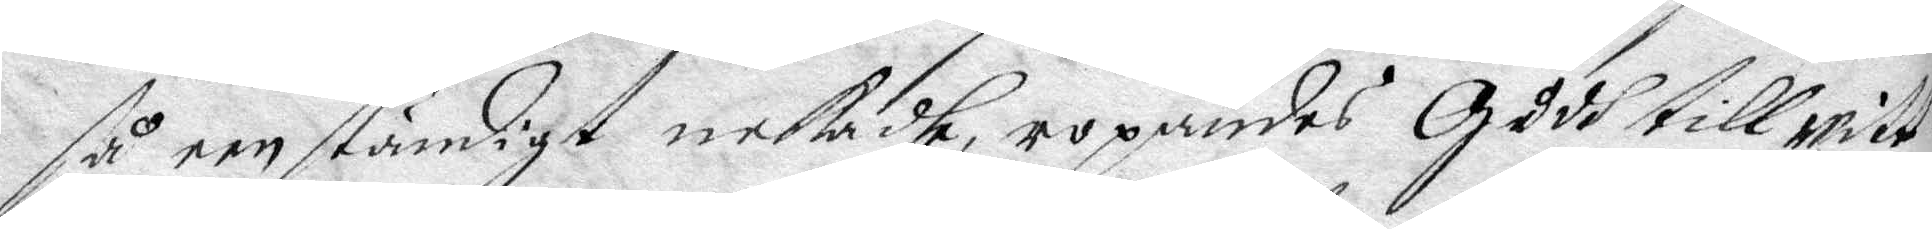så eenständigt nekadhe, ropandes Gudh till witt¬
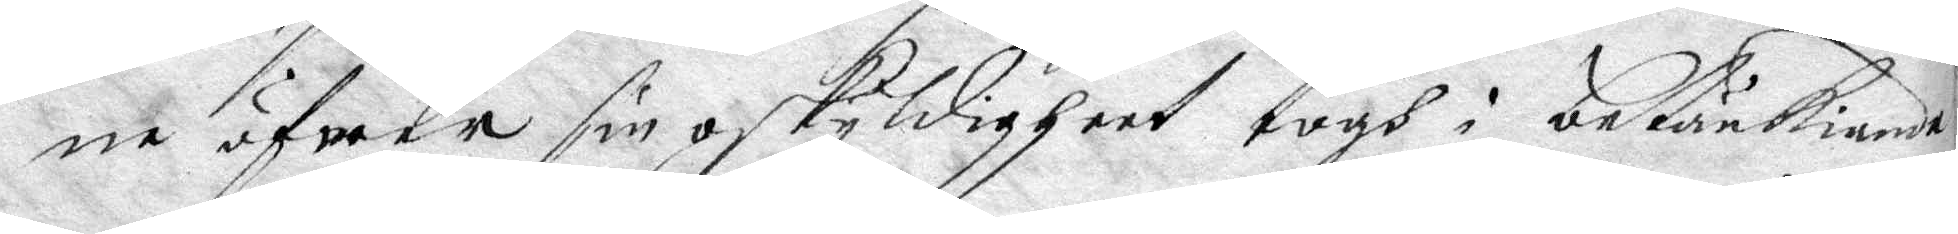ne äfwer sin oskyldigheet togs i betänkiande
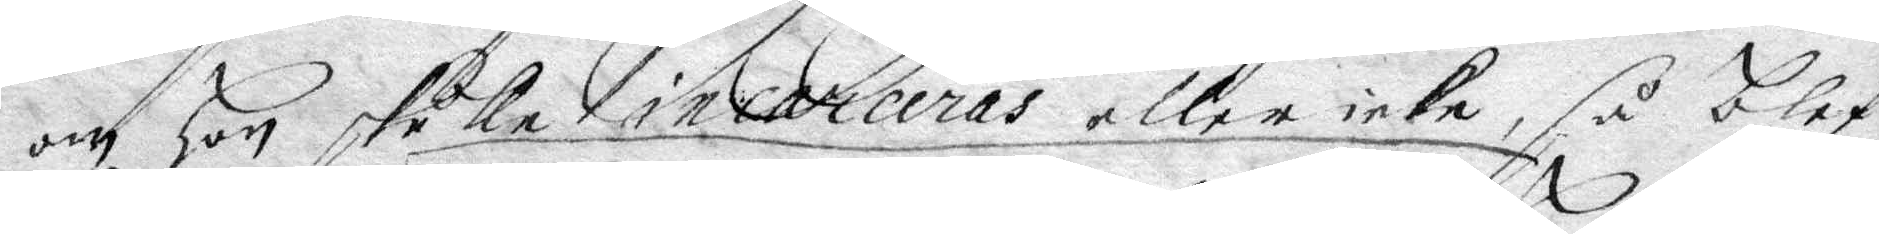om hon skulle incareras eller icke, så blef
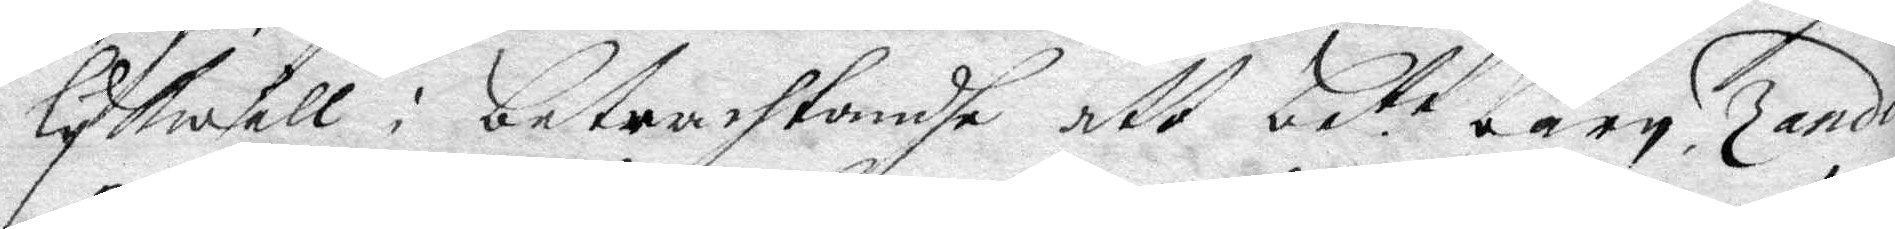lykwäll i betrachtandhe att bete barn Zander
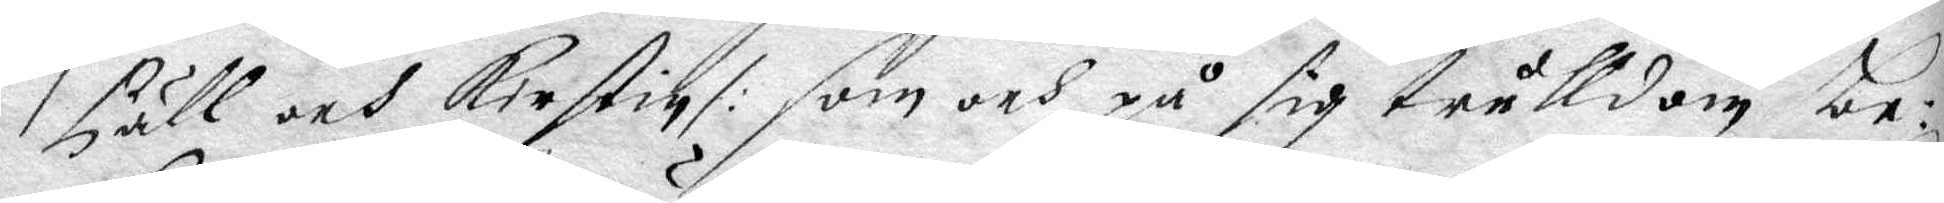Päll och Kirstin /: som och på sig trulldom be¬
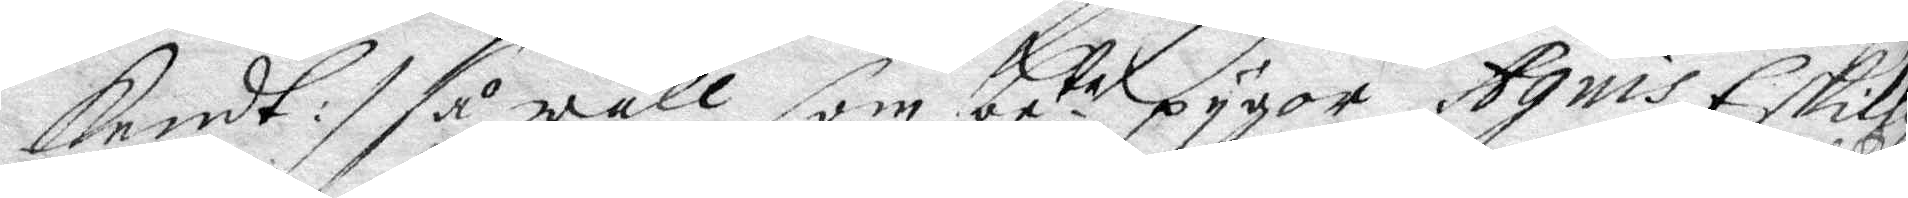kendt :/ så wäll som bete pygor Agnis Eskils¬
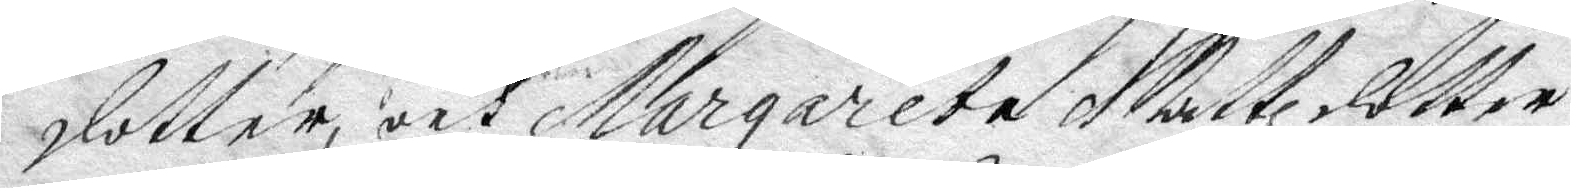dotter, och Margareta Mattzdoter
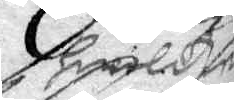hwilka
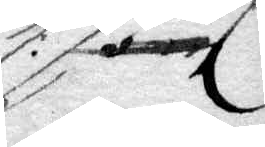/:
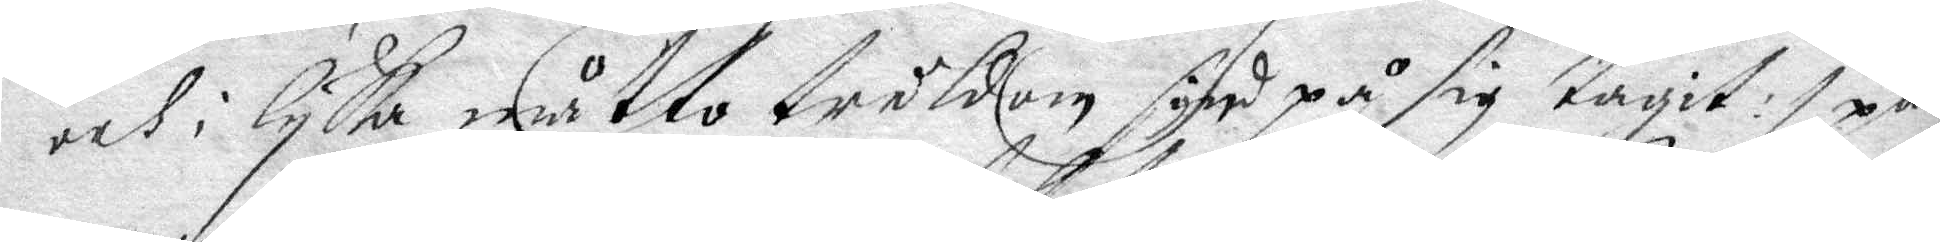och i lyka måtto truldom synd på sig tagit /: på
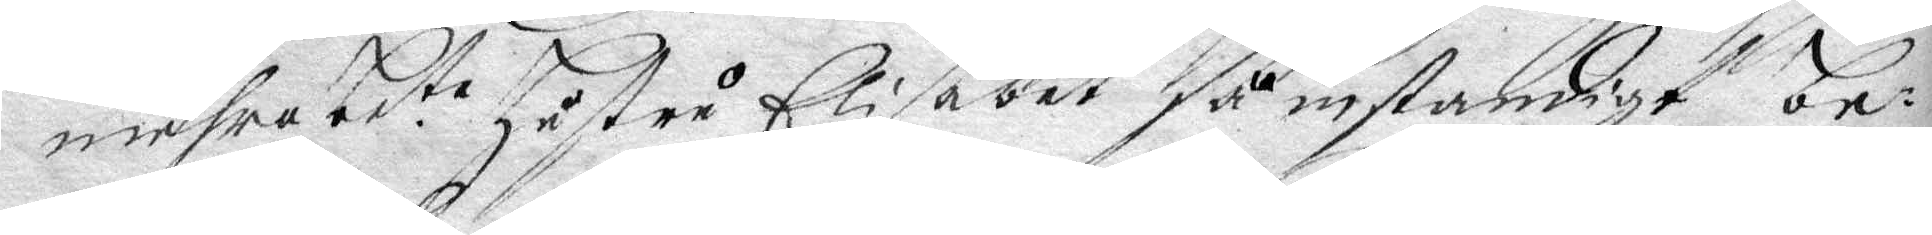mehra bete hsutru Elisabet så instandige be¬
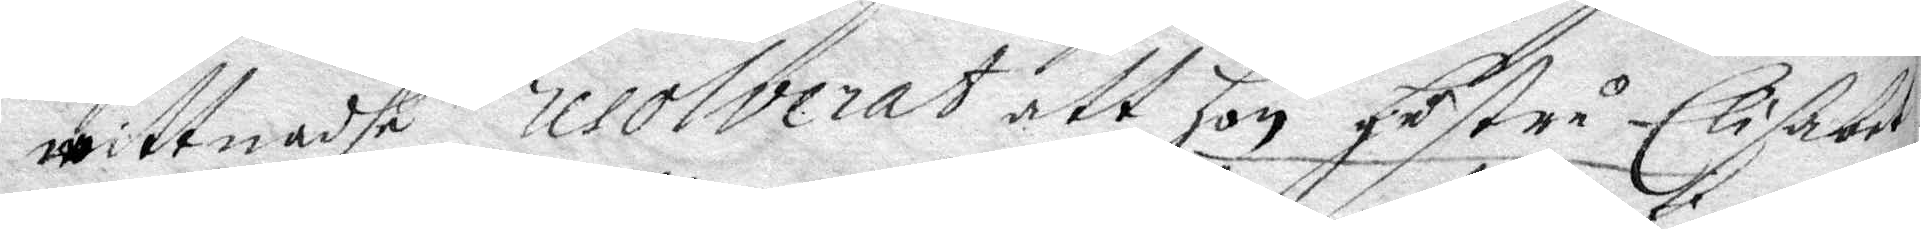wittnadhe resolverat att hon hustru Elisabet
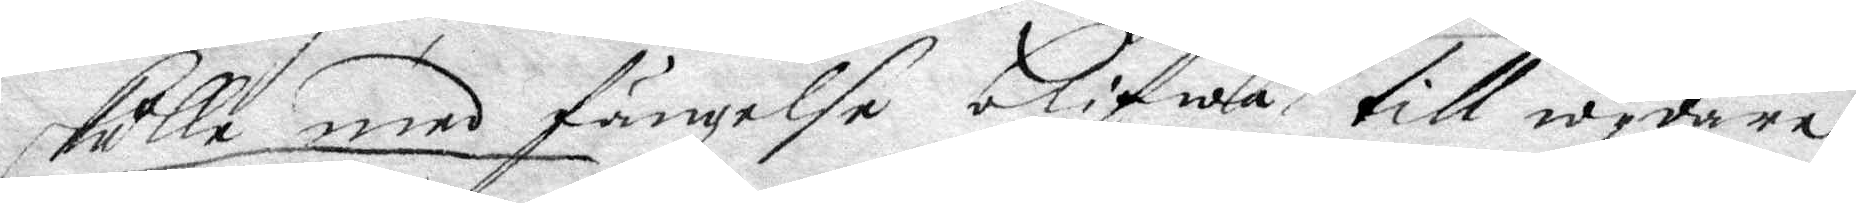skulle med fängelse blifwa till wydare
